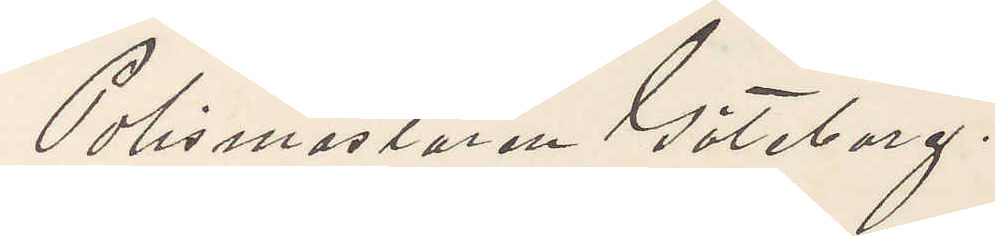Polismästaren Göteborg.
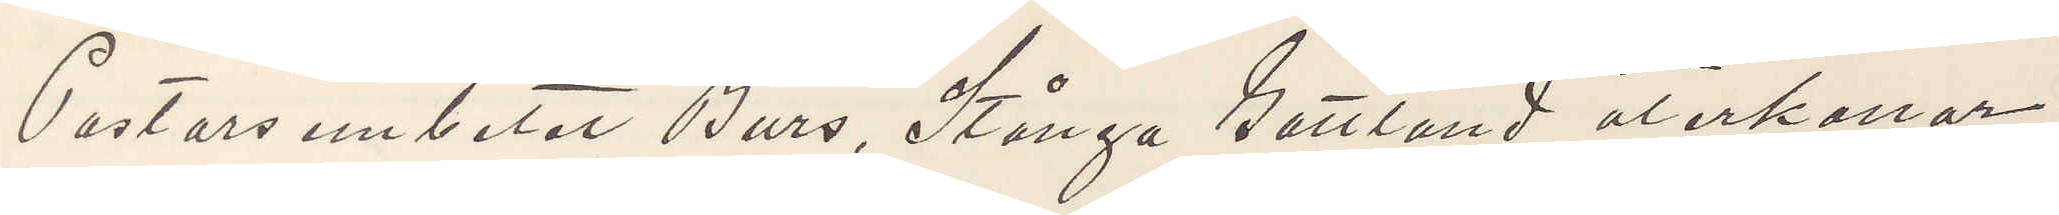Pastorsembetet Burs, Stånga Gottland återkallar
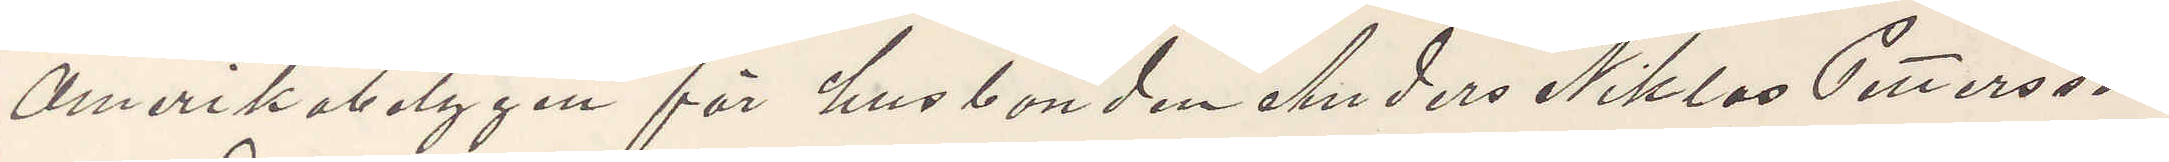Amerikabetygen för husbonden Anders Niklas Pettersson
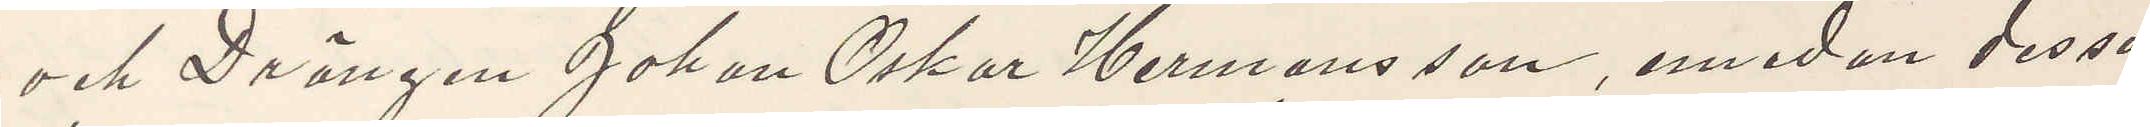och Drängen Johan Oskar Hermansson, emedan dessa
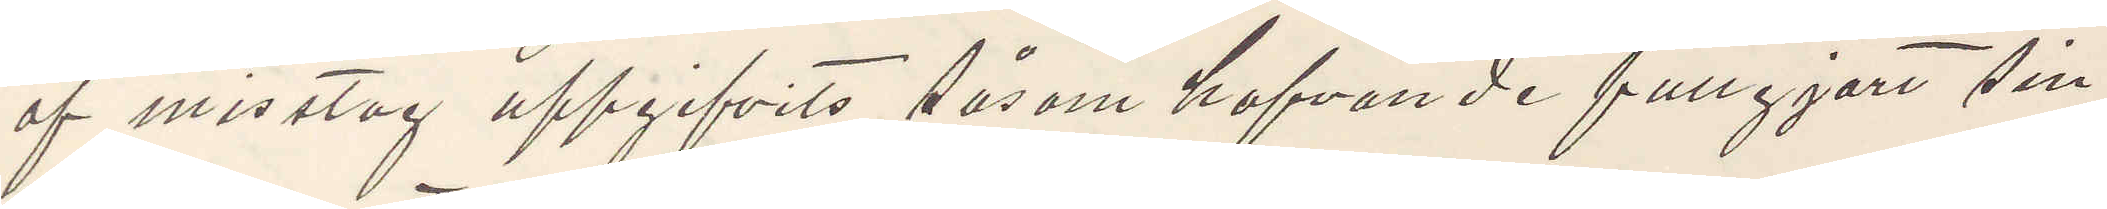af misstag uppgifvits såsom hafvande fullgjort sin
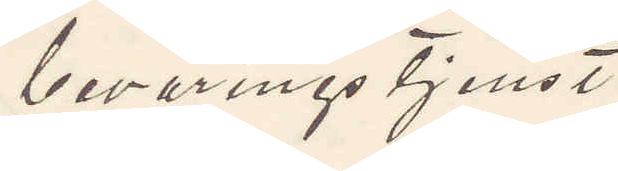bevärings tjenst.
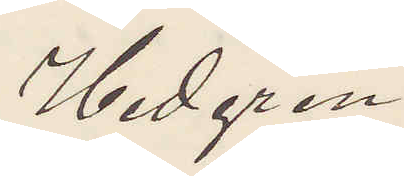Hedgren
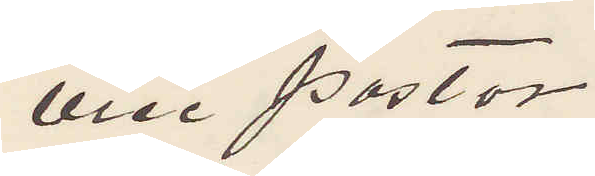vice Pastor.
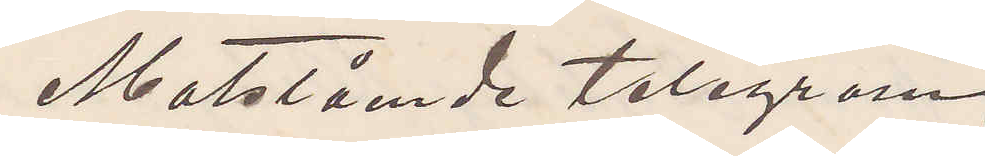Motstående telegram
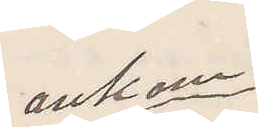ankom
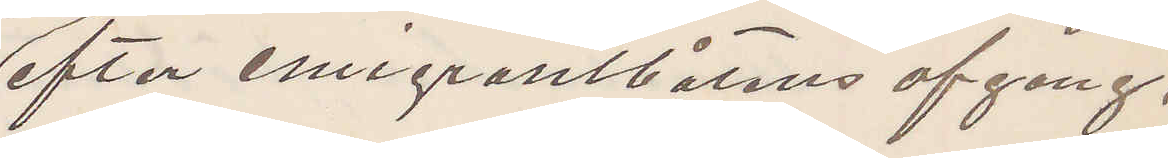efter emigrantbåtens afgång,
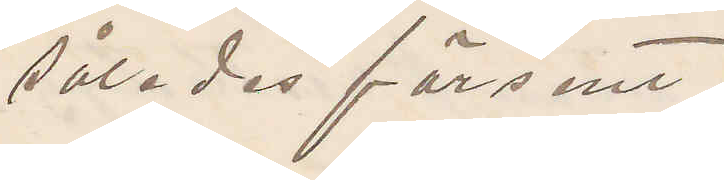således försent.
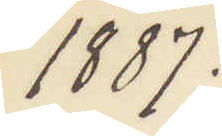1887.
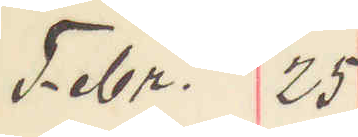Febr. 25
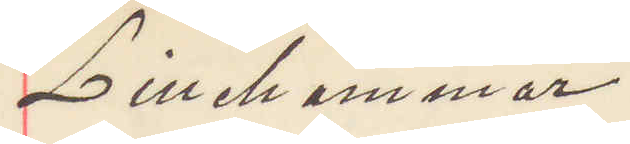Lillehammar
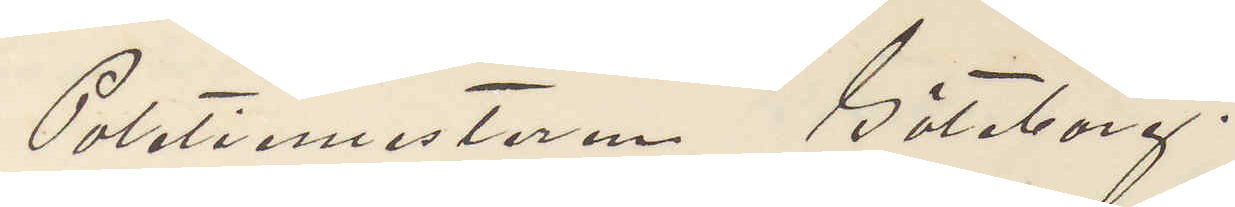Politimesteren Göteborg.
